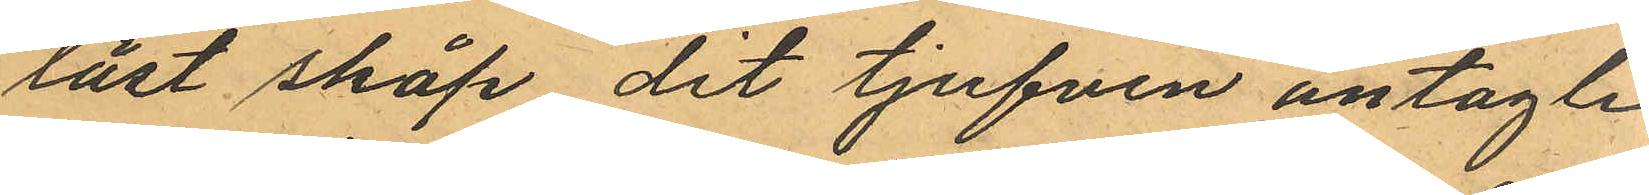låst skåp dit tjufven antagli
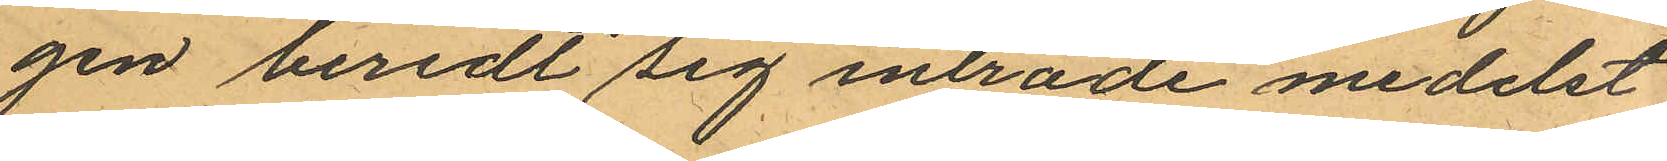gen beredt sig inträde medelst
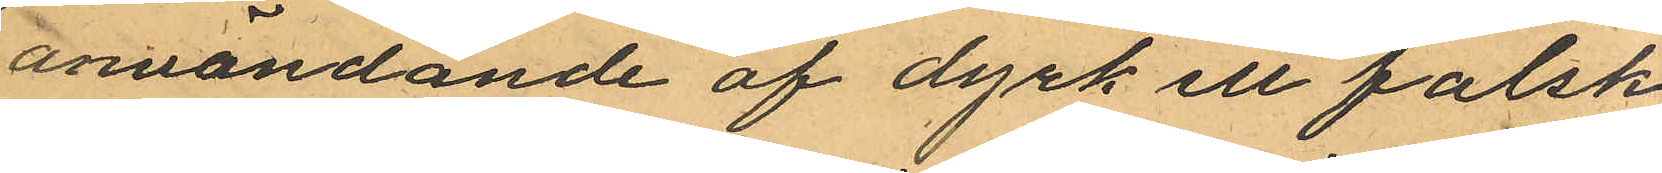användande af dyrk ell falsk
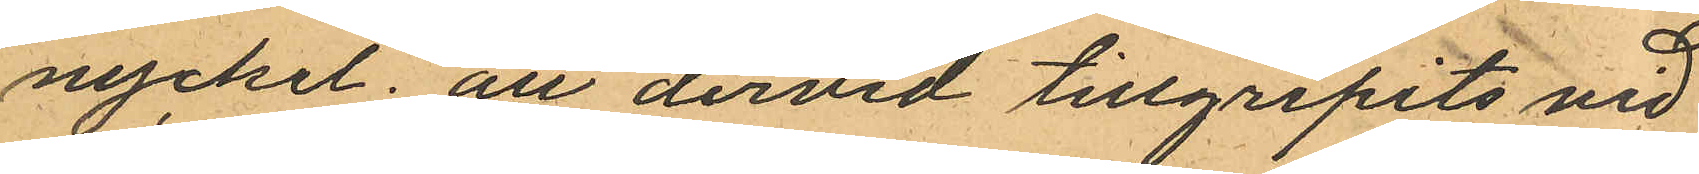nyckel; att dervid tillgripits vid
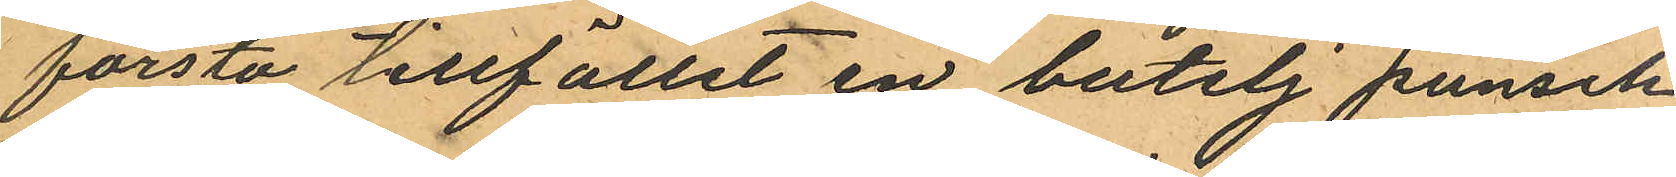första tillfället en butelj punsch
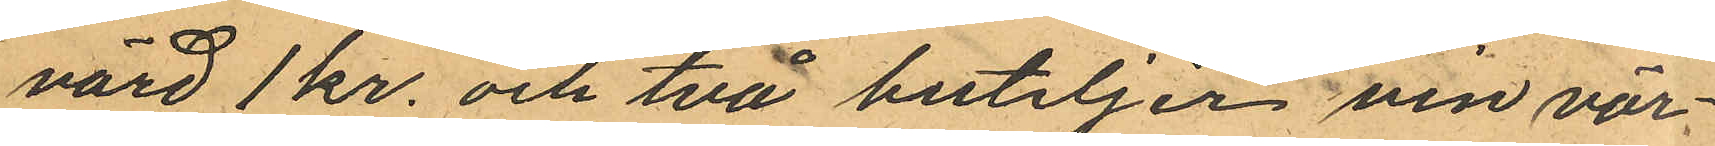värd 1 kr. och två buteljer vin vär¬
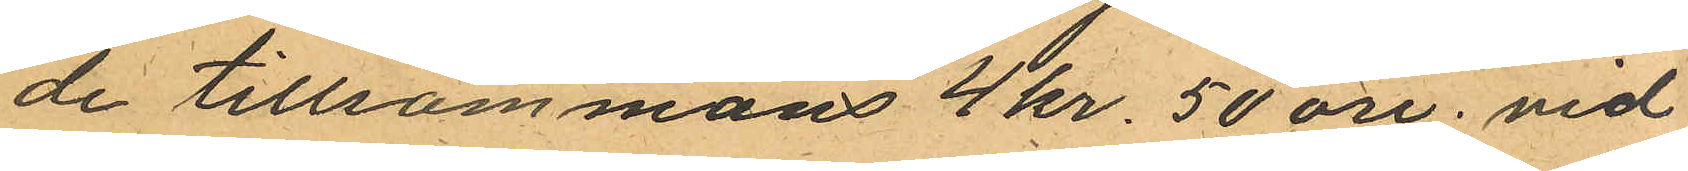de tillsammans 4 kr. 50 öre. vid
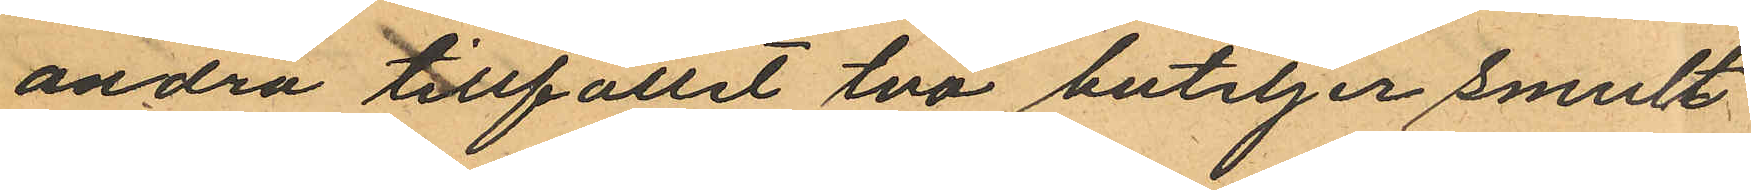andra tillfället två buteljer smult
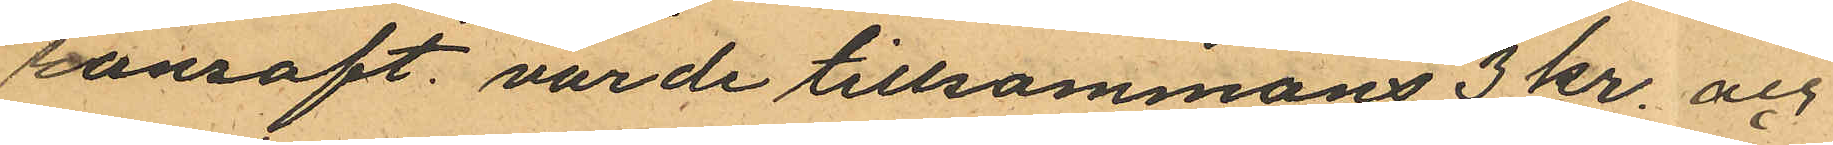ronsaft, värde tillsammans 3 kr. och
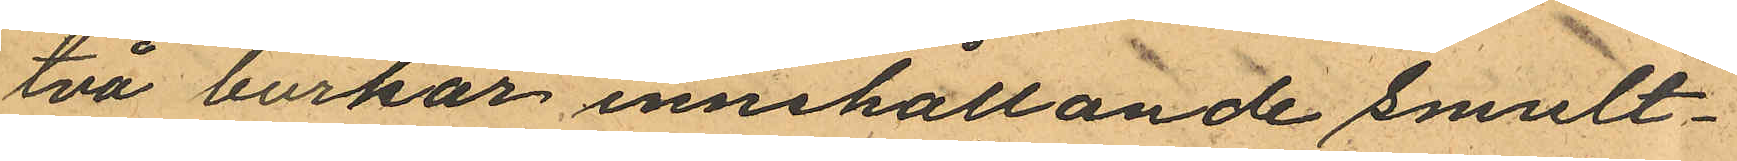två burkar innehållande smult¬
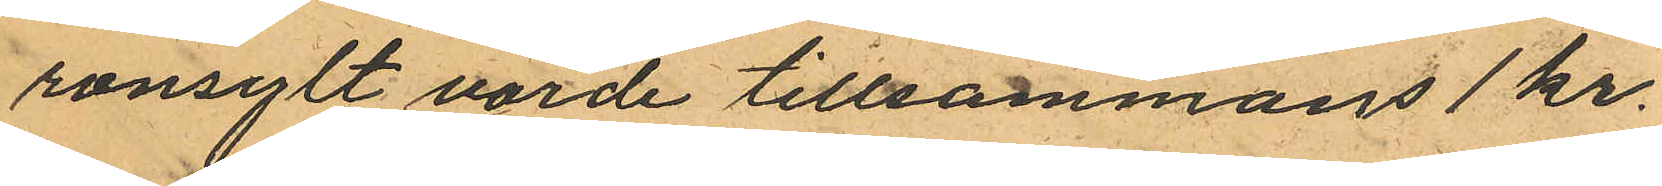ronsylt värde tillsammans 1 kr.
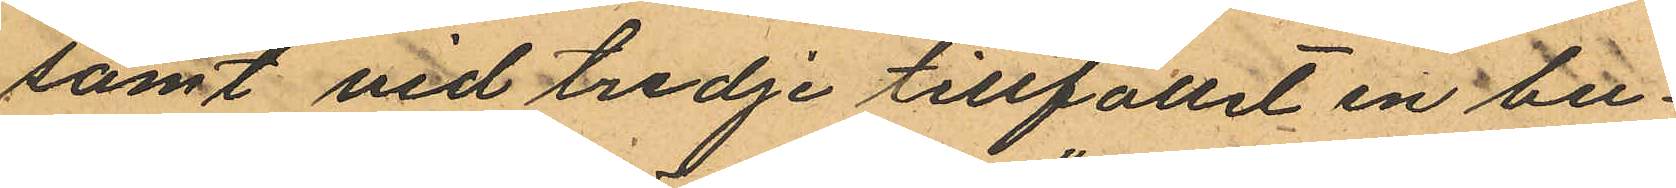samt vid tredje tillfället en bu¬
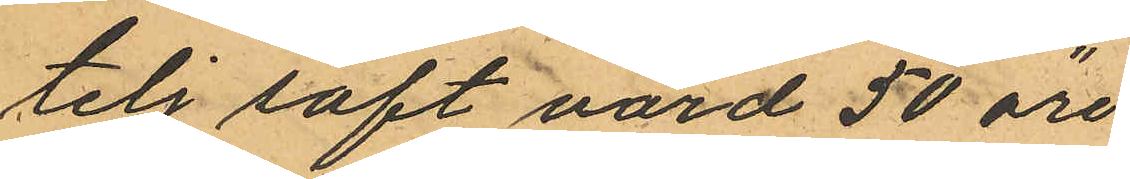telj saft värd 50 öre
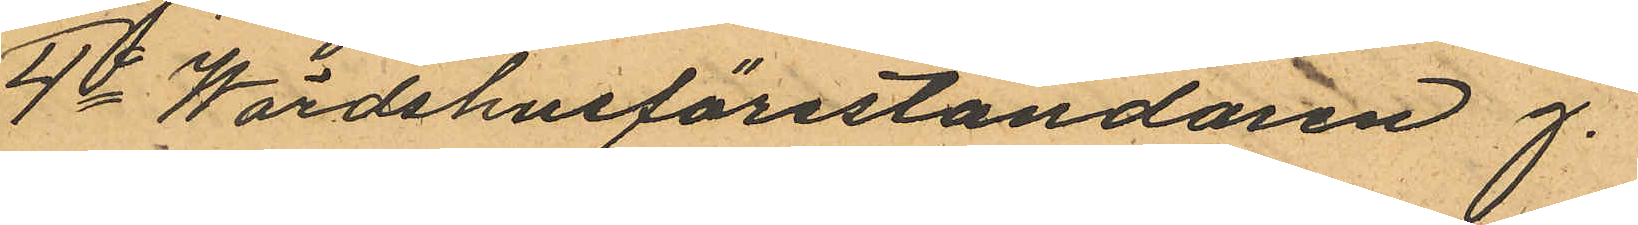4o Wärdshusföreståndaren J.
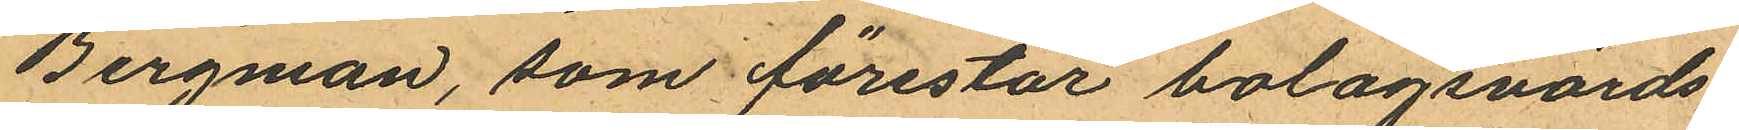Bergman, som förestår bolagsvärds¬
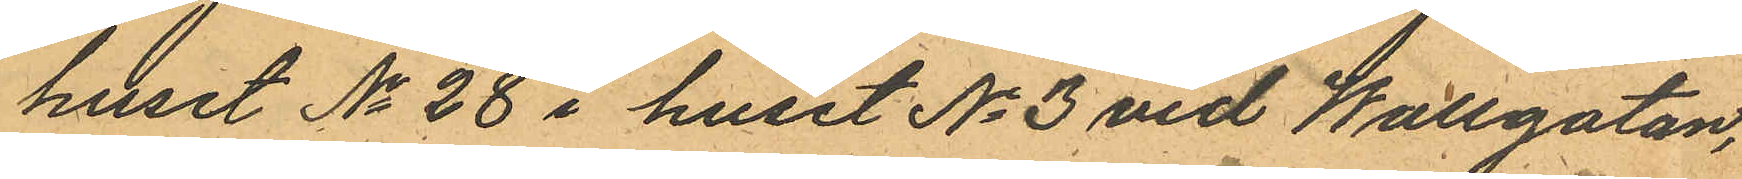huset No 28 i huset No 3 vid Wallgatan,
